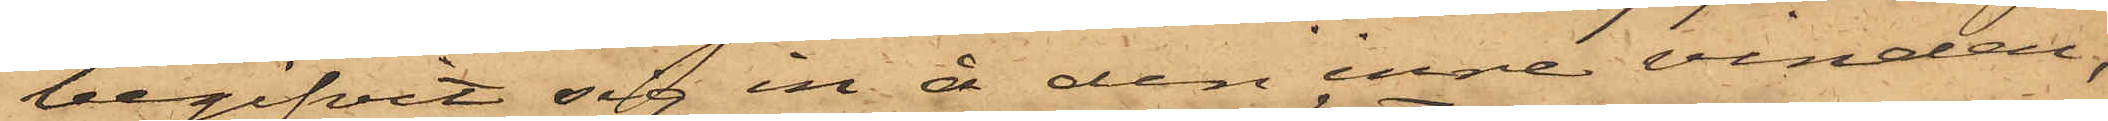begifvit sig in å den inre vinden,
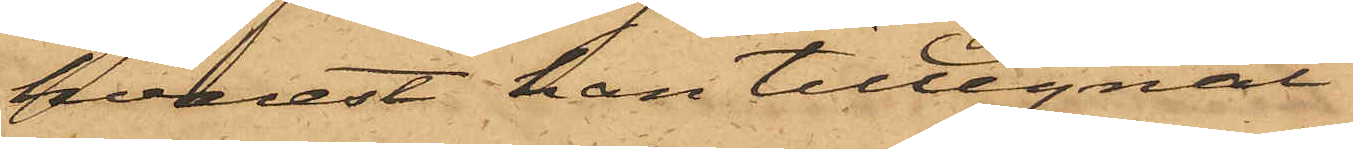hvarest han tillegnat
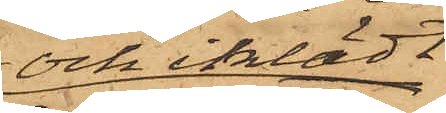och iklädt
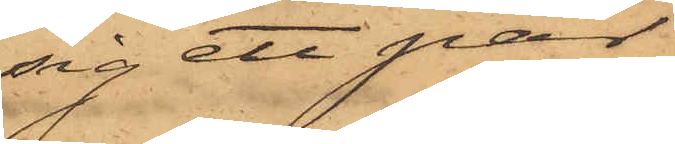sig ett par
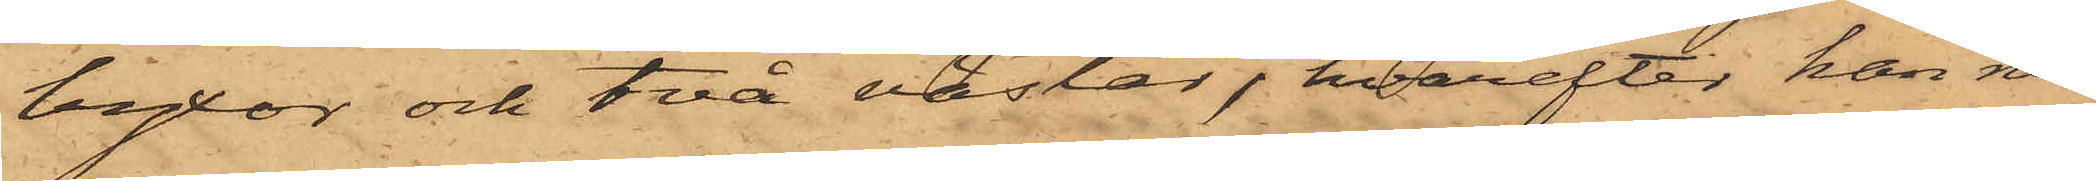byxor och två västar, hvarefter han ned¬
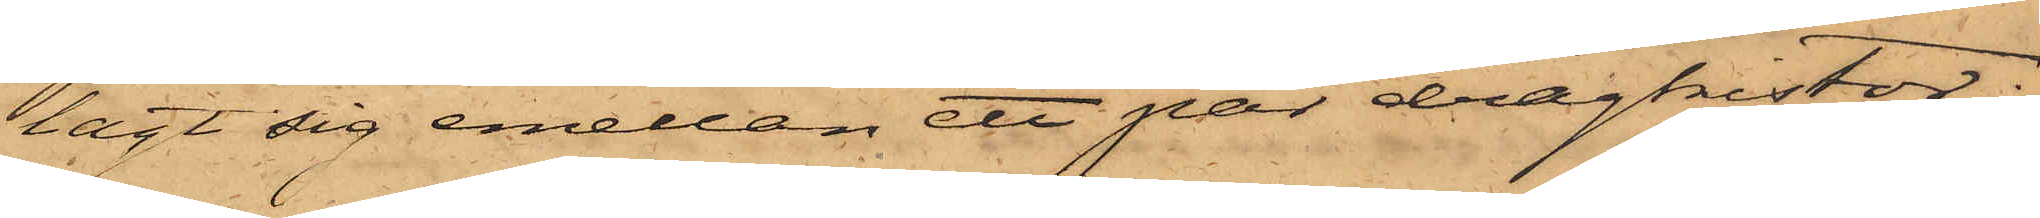lagt sig emellan ett par dragkistor;
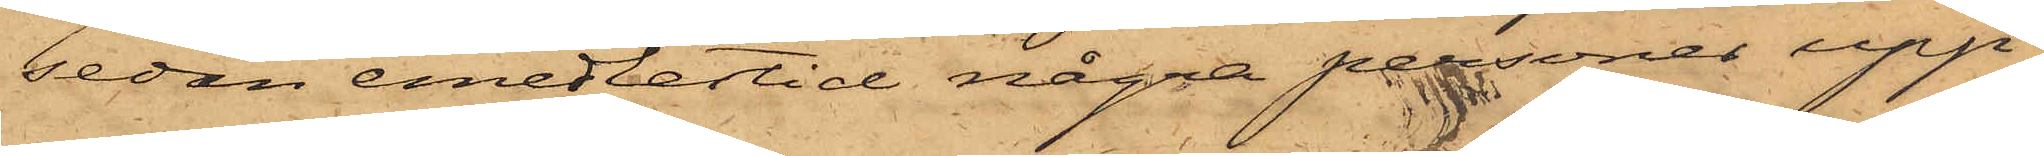sedan emedlertid några personer upp¬
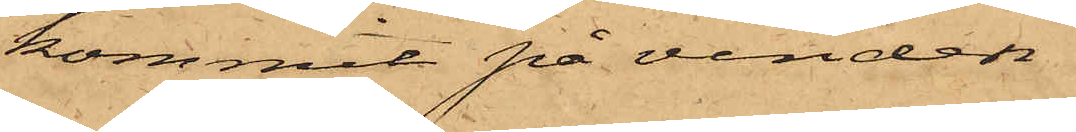kommit på vinden
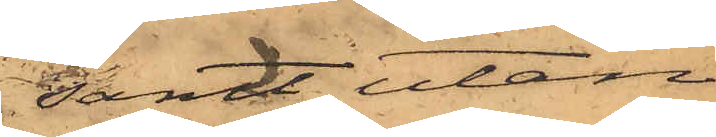samt, utan
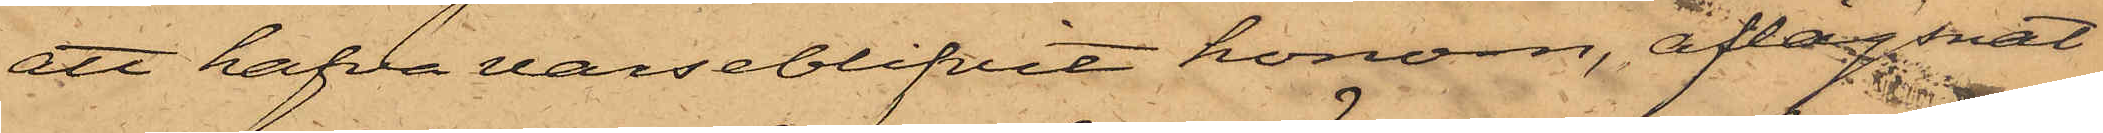att hafva varseblifvit honom, aflägsnat
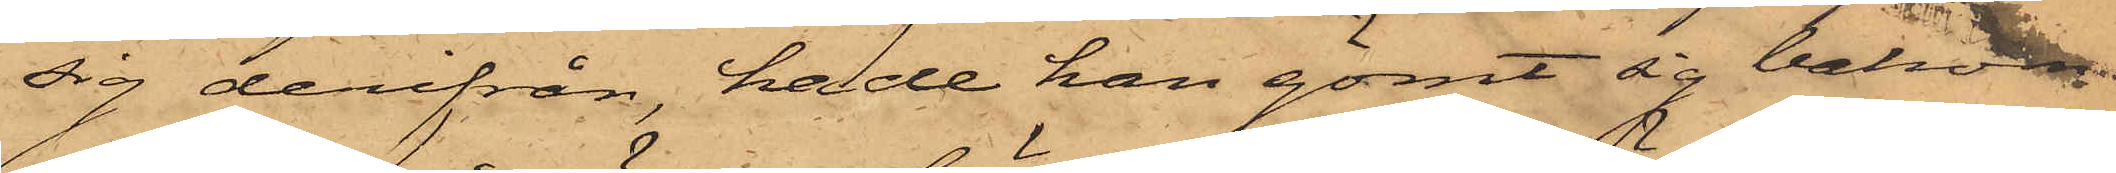sig derifrån, hade han gömt sig bakom
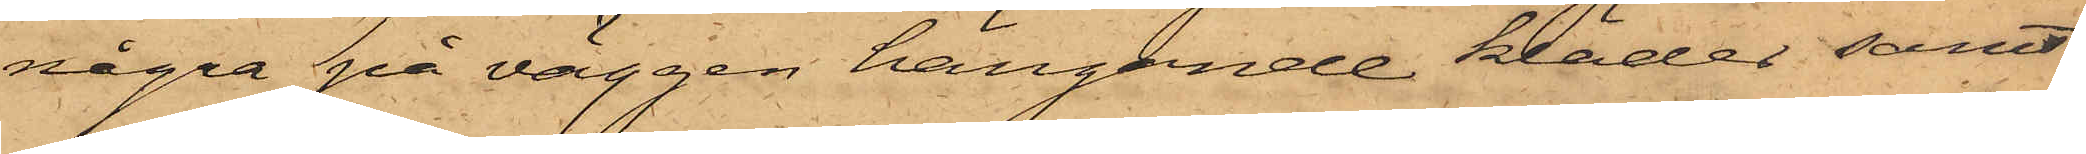några på väggen hängande kläder samt
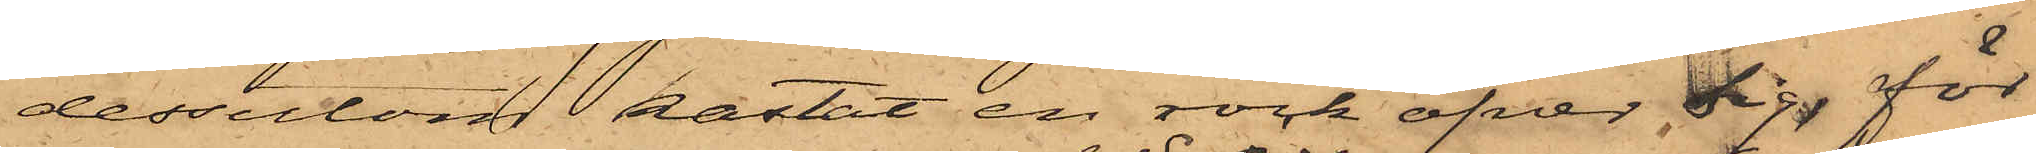dessutom kastat en rock öfver sig, för
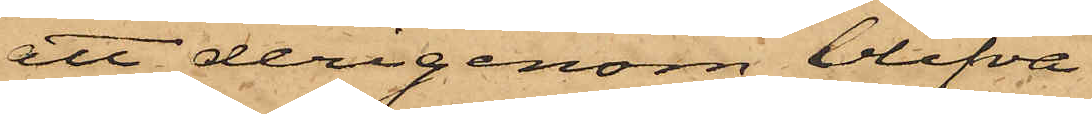att derigenom blifva
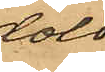dold;
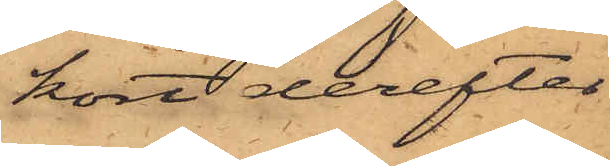kort derefter
